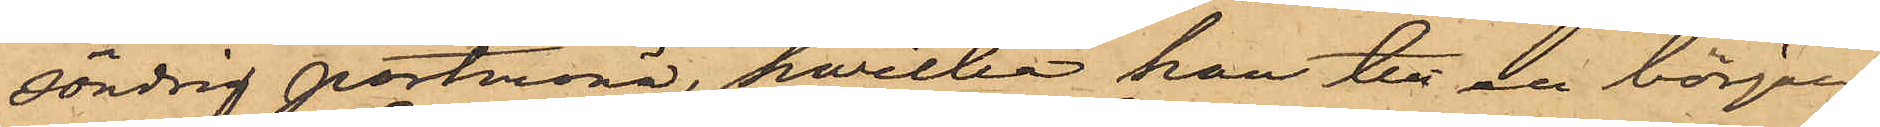söndrig portmonä, hvilka han till en början
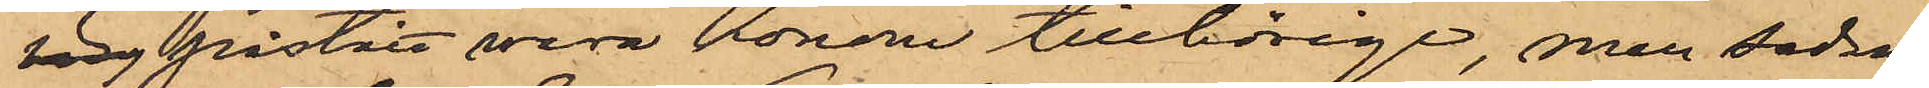rig påstått vara honom tillhörige men sedan
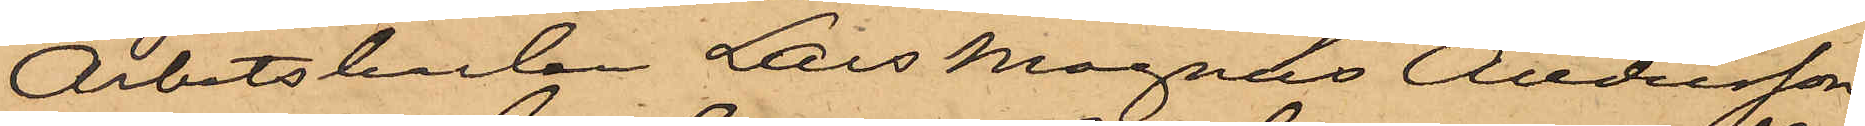Arbetskarlen Lars Magnus Andersson,
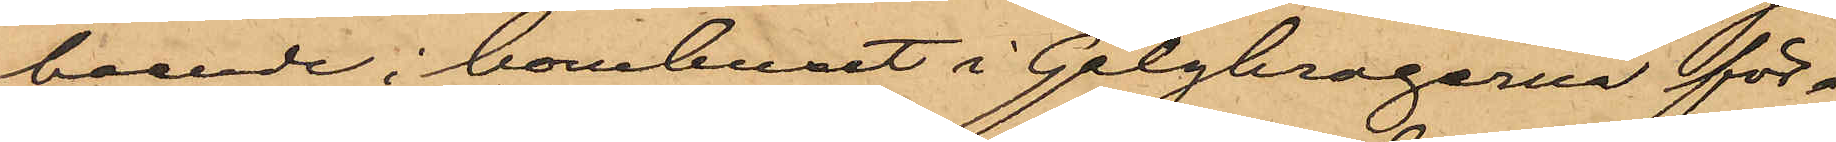boende i bomhuset i Galgkrogerna för¬
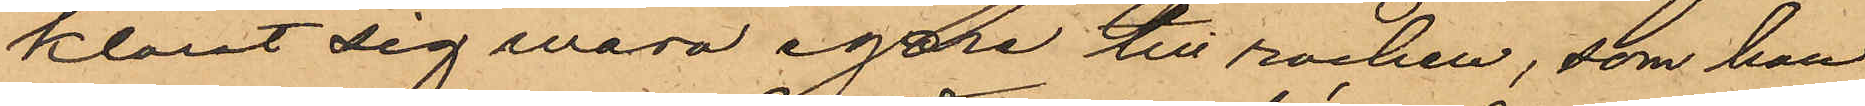klarat sig wara egare till rocken, som han
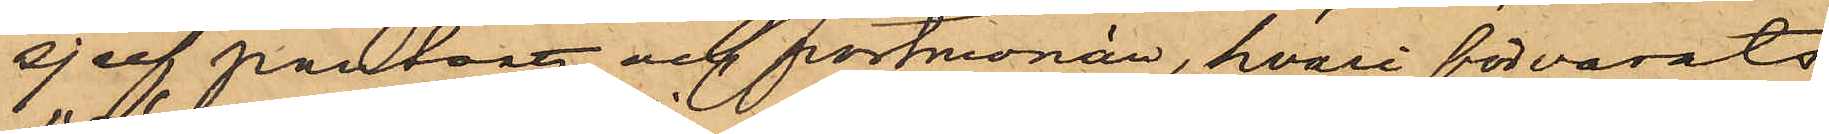sjelf pantsatt och portmonän, hvari förvarats
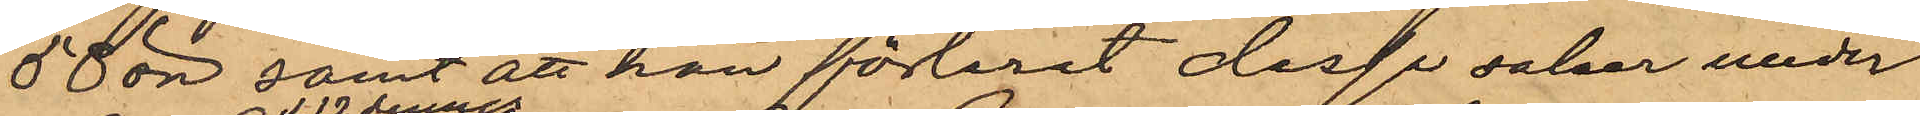58 öre, samt att han förlorat dessa saker under
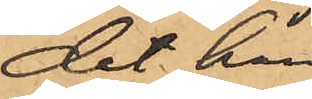det han
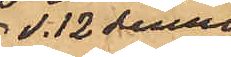d. 12 dennes
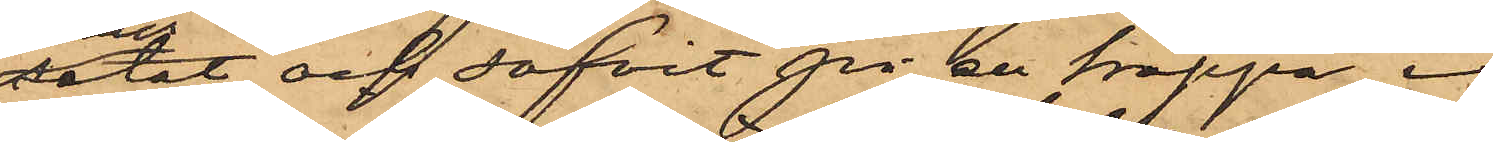setat och sofvit på en trappa i
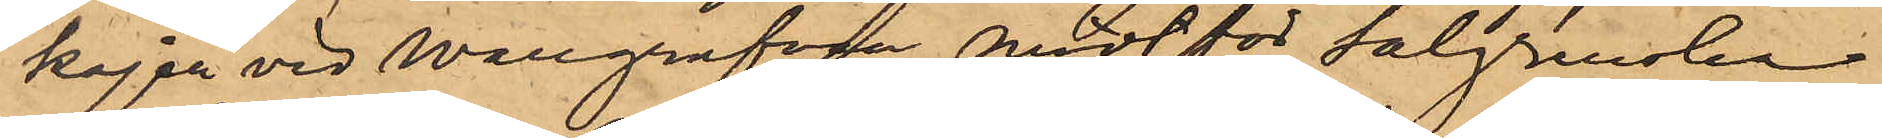kajen vid Wallgrafven midt för Salgrenska
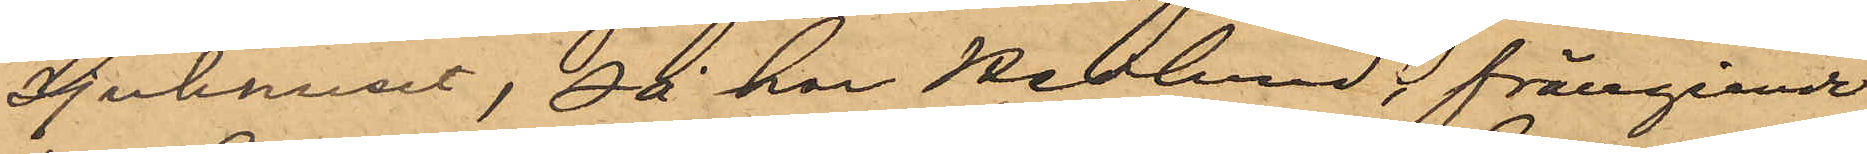Sjukhuset, så har Hedlund, frångående
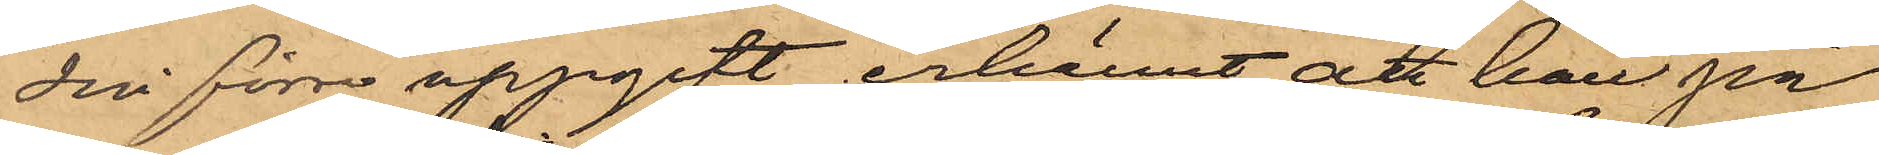sin förre uppgift erkännt att han på
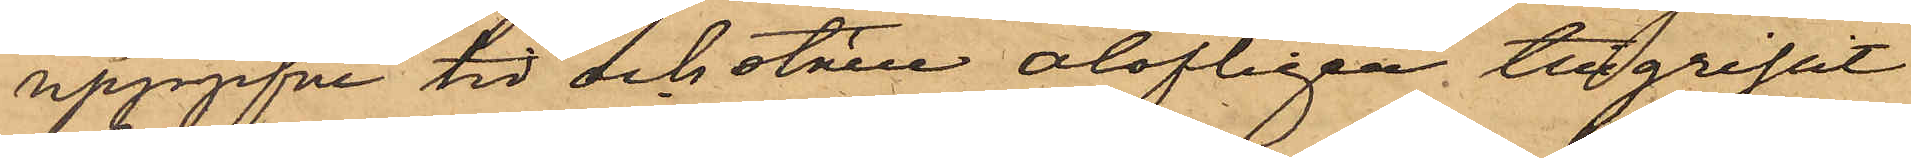uppgifne tid och ställe olofligen tillgripit
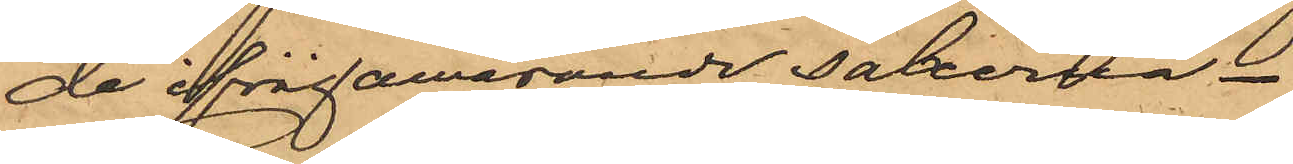de ifrågawarande sakerna.
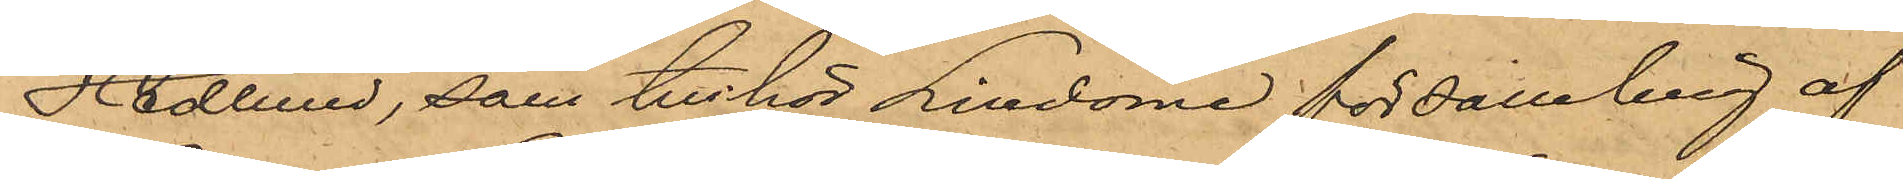Hedlund, som tillhör Lindome församling af
